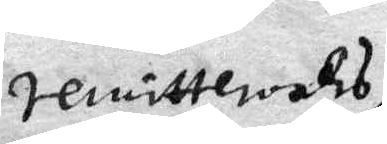remitteras
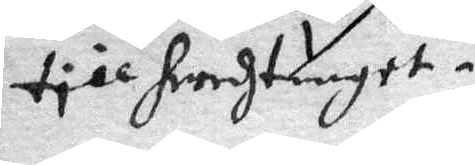till heradtinget.
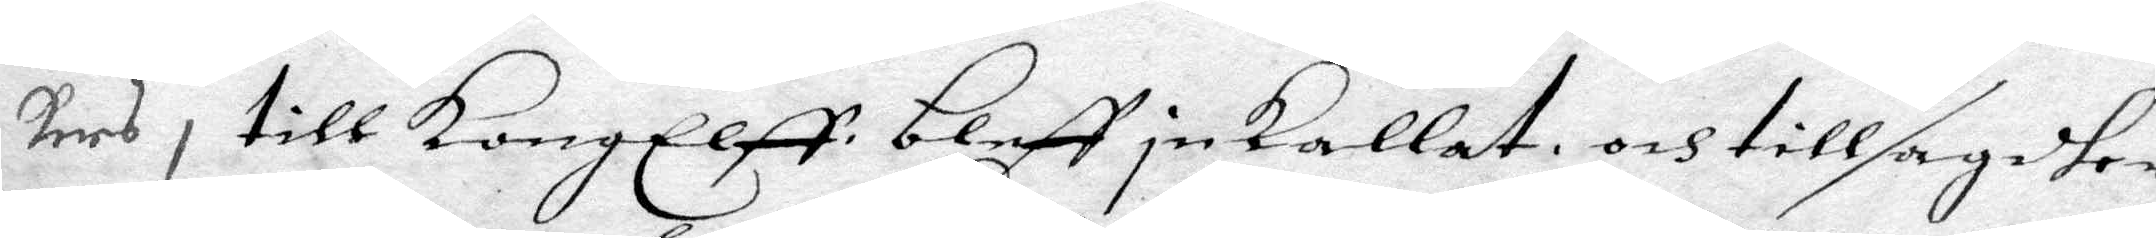kars, till KongElff bleff inkallat och tillsagdher
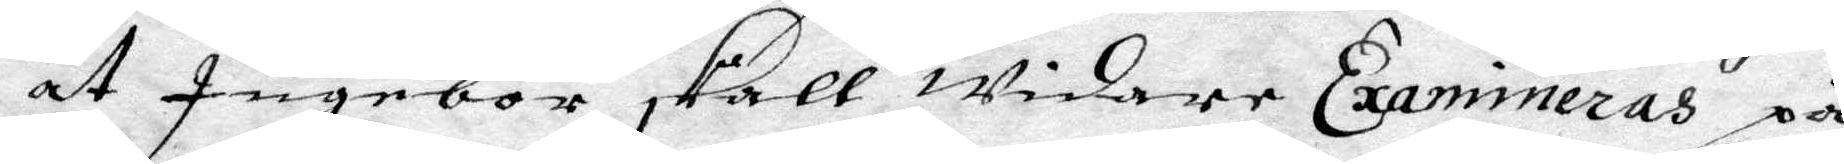at Ingebor skall widare Examineras på
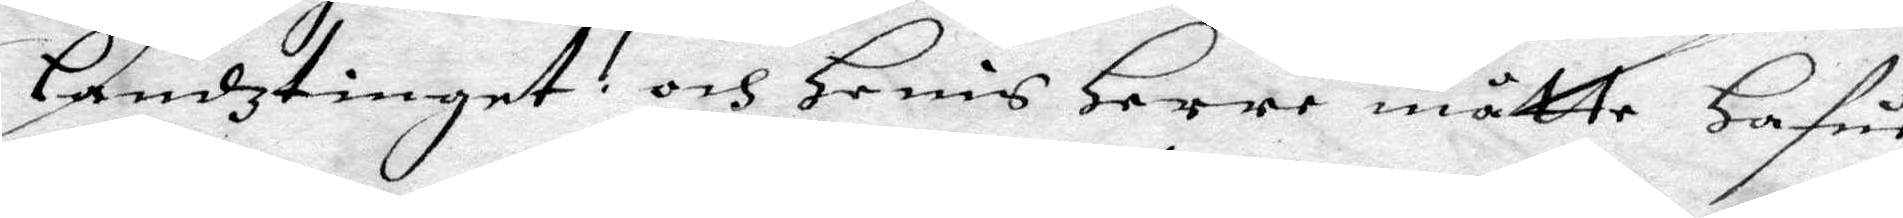Landztinget och Henis Herre måtte hafua
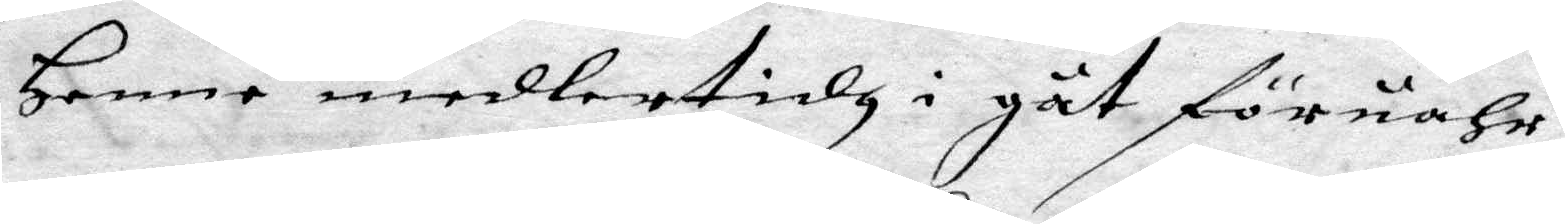Henne medlestidh i gåt föruahr,
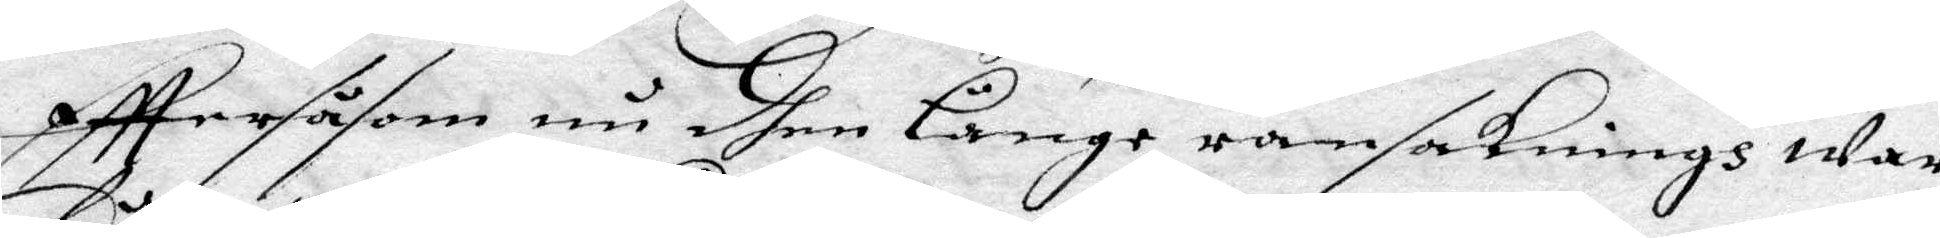efttersåsom nu dhen Länge ransakningen war
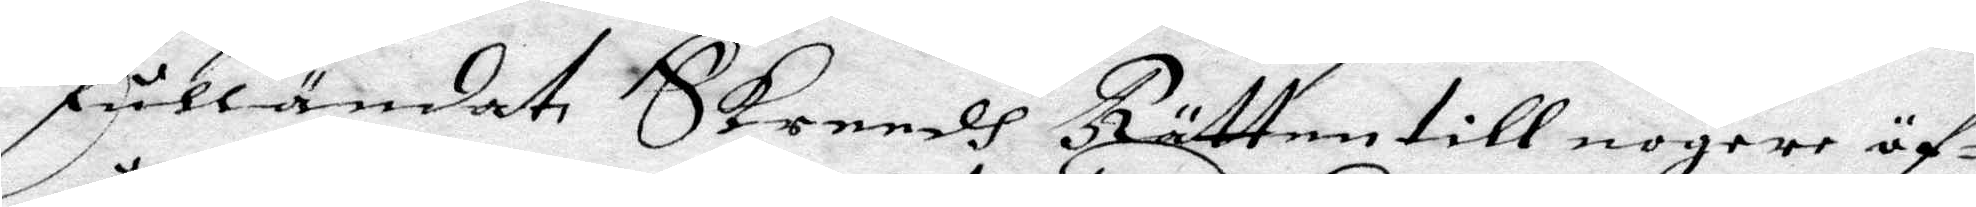fulländat Skreedh Rätten till nogare äf¬
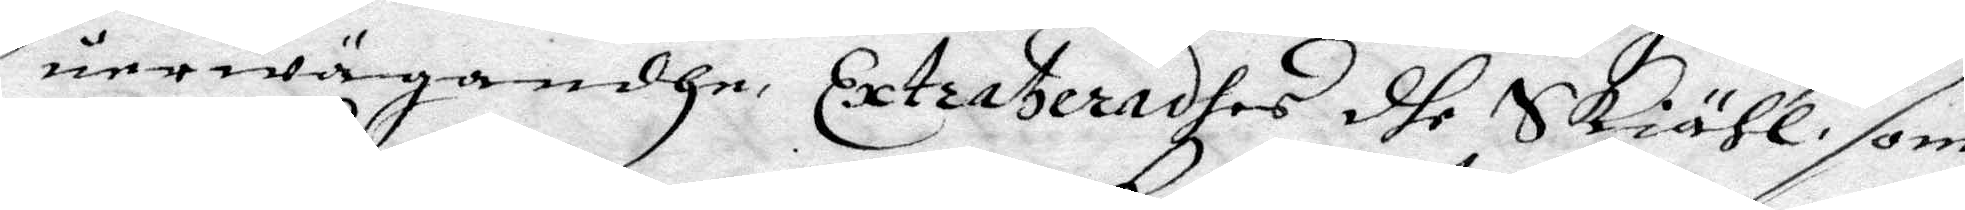uerwägandhe Extrateradhe dhe Skiähl som
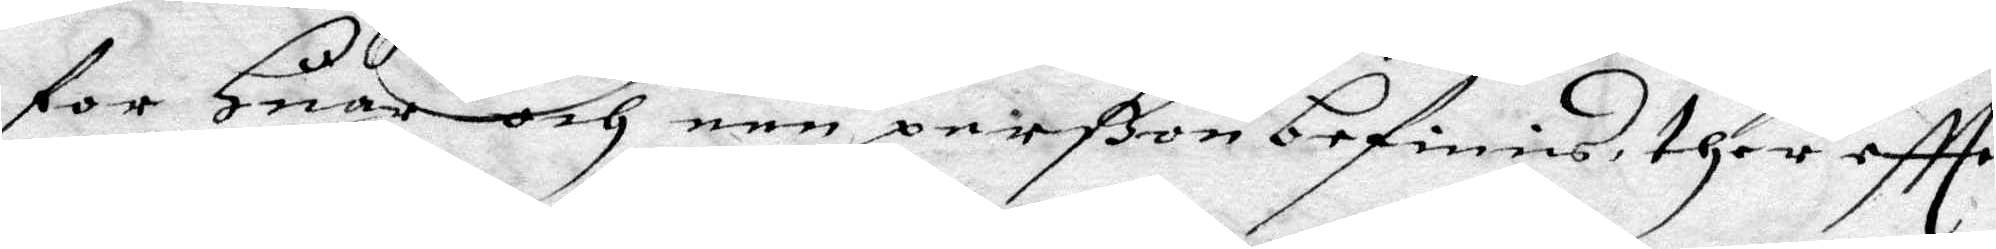for Huar och een perßon befinnis ther eftter
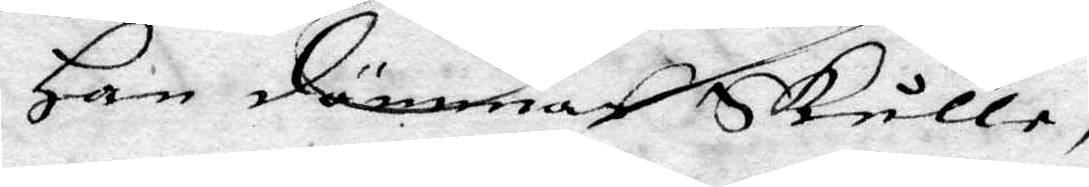Han dömmas Skulle,
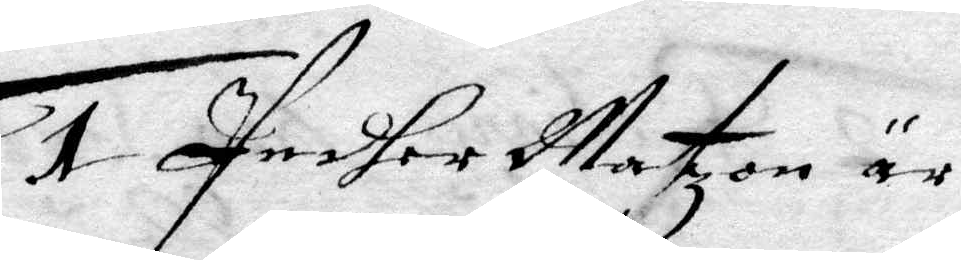1 Pedher Matzon är
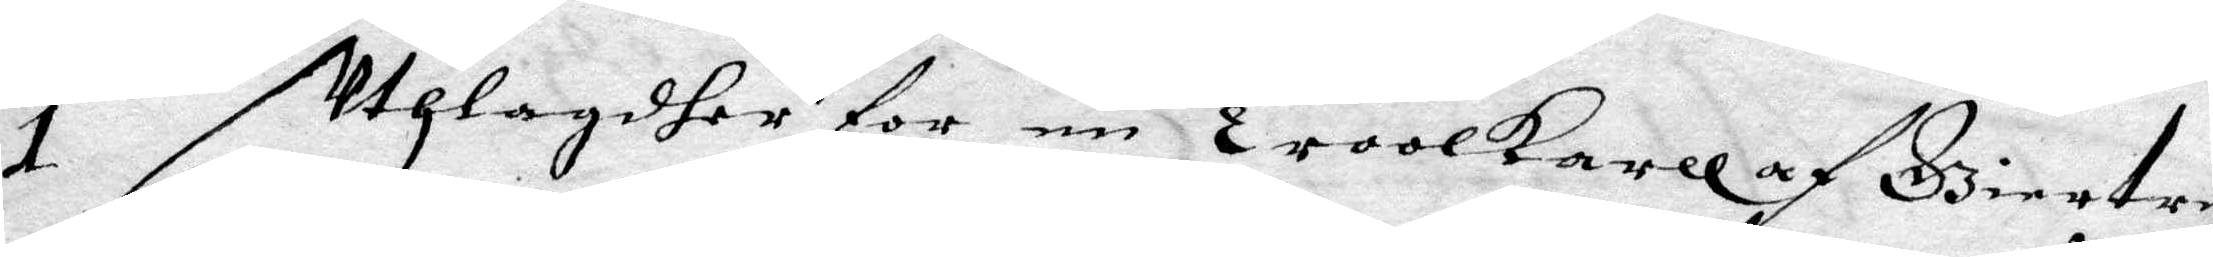1 Uthlagdher for en Troolkarll af Giertru
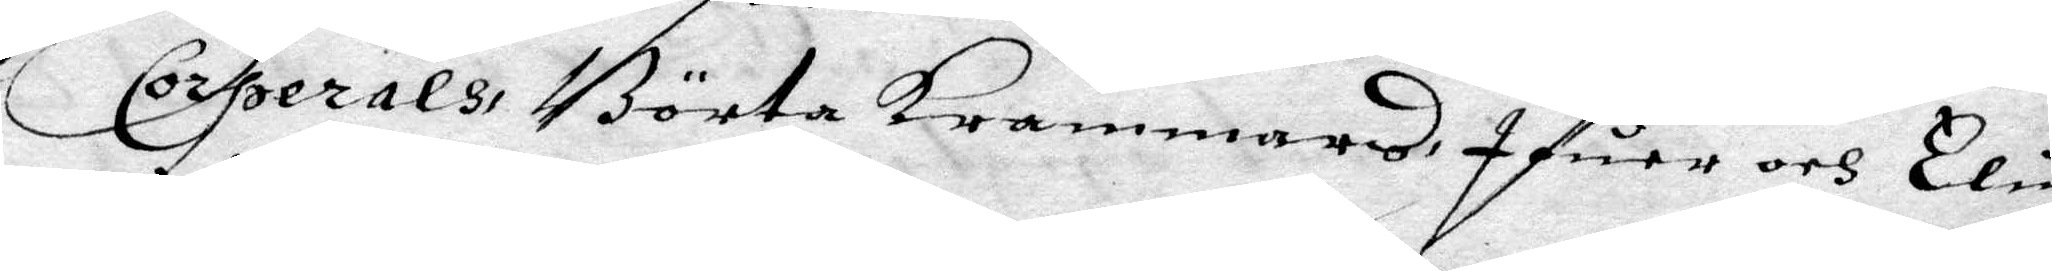Corperals, Börta krammars, Ifuer och Elin
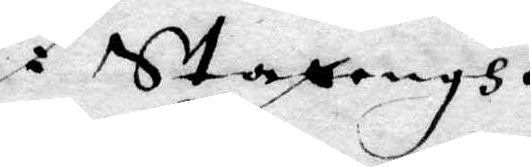i Stazengh.
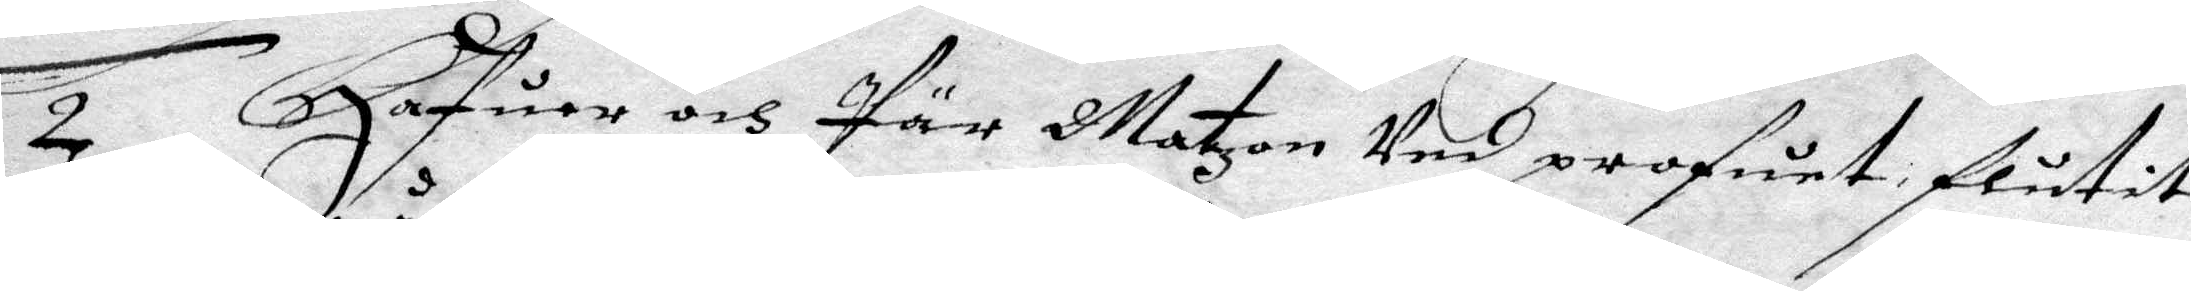2 Hafuer Pär Matzon Ved profuet flutit
